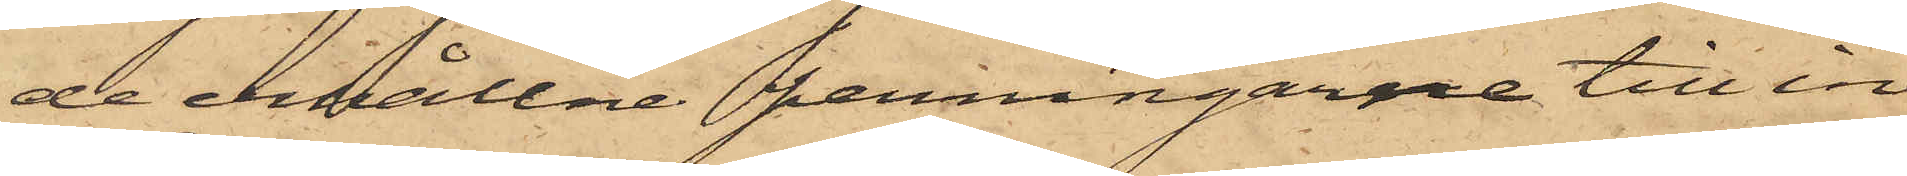de erhållne penningarne till in¬
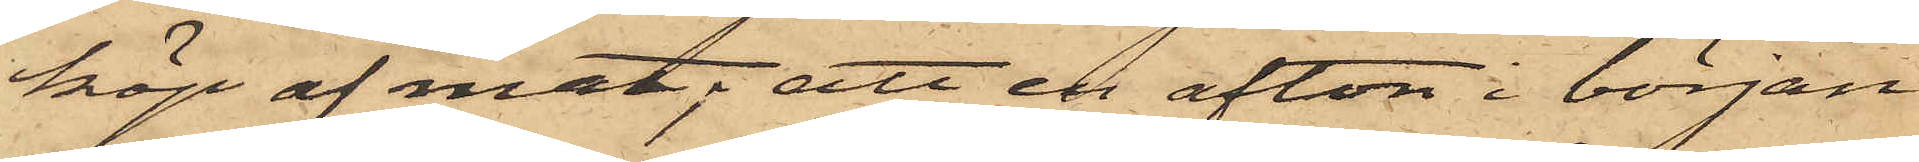köp af mat; att en afton i början
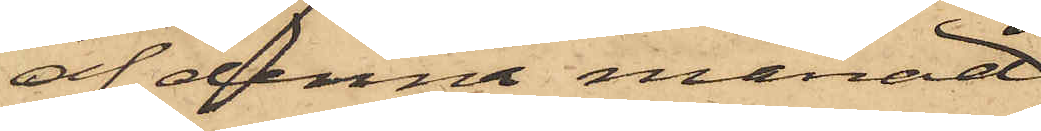af denna månad
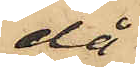då
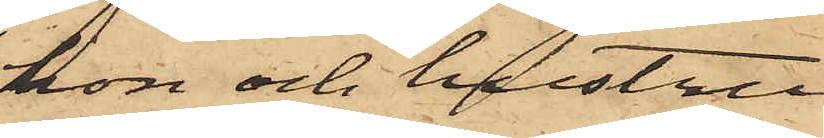hon och hustru
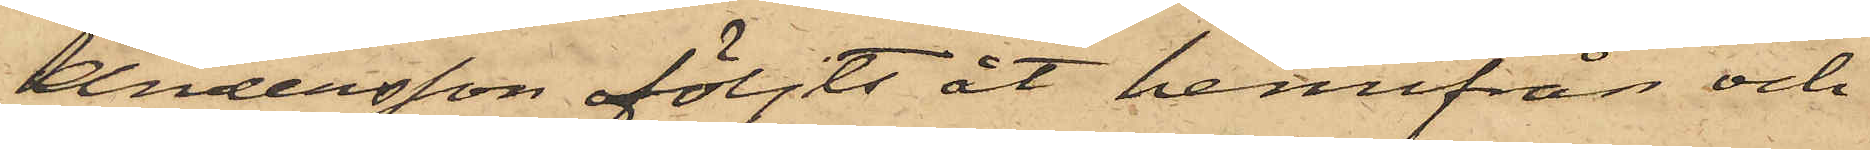Andersson följts åt hemifrån och
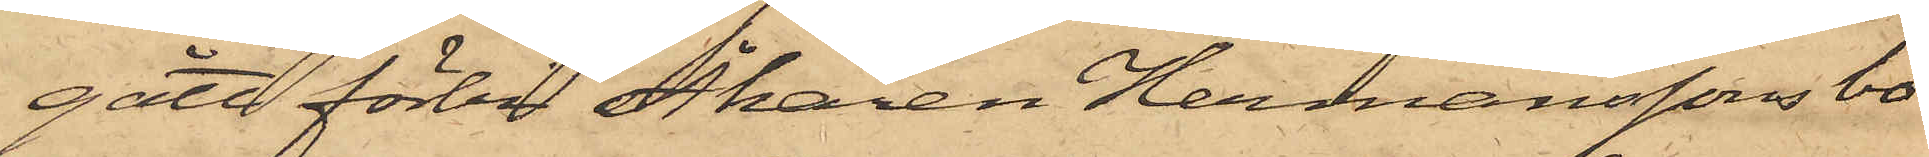gått förbi Åkaren Hermanssons bo¬
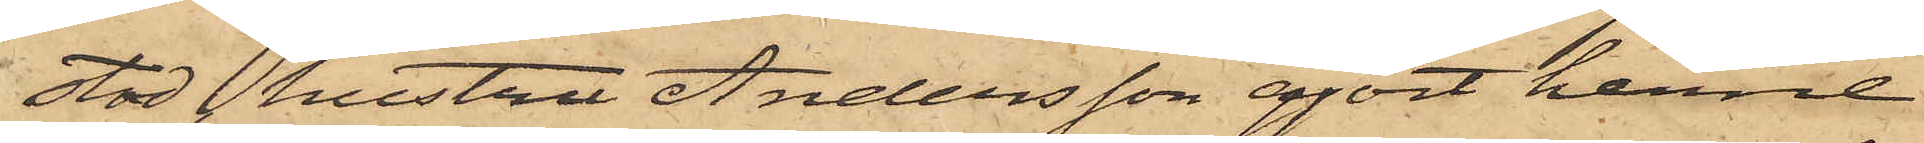stad, hustru Andersson gjort henne
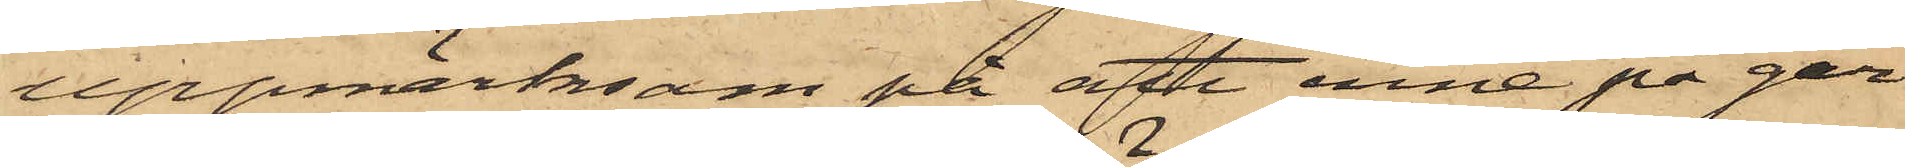uppmärksam på att inne på går¬
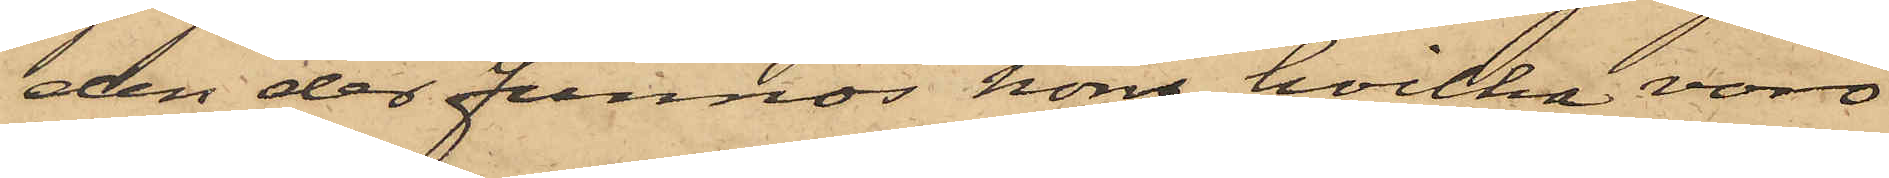den der funnos höns, hvilka voro
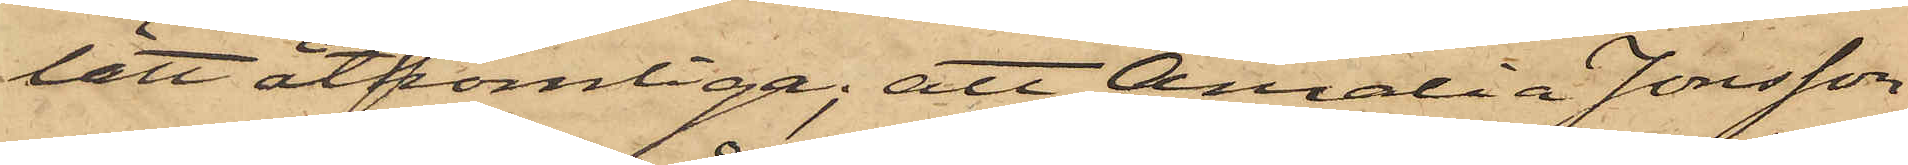lätt åtkomliga; att Amalia Jonsson
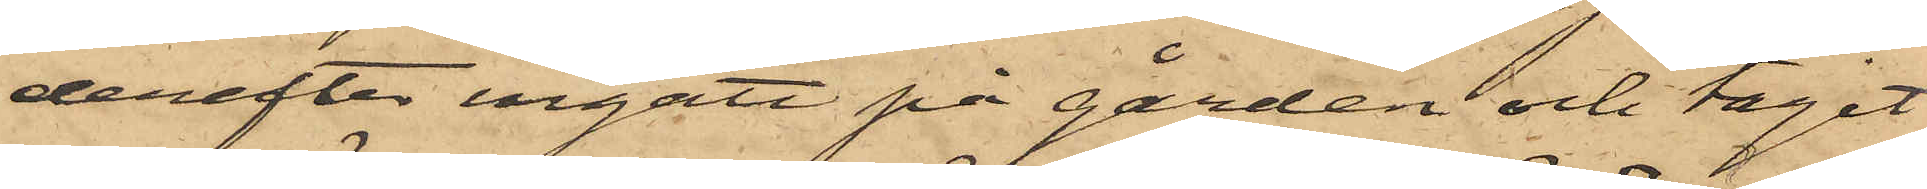derefter ingått på gården och tagit
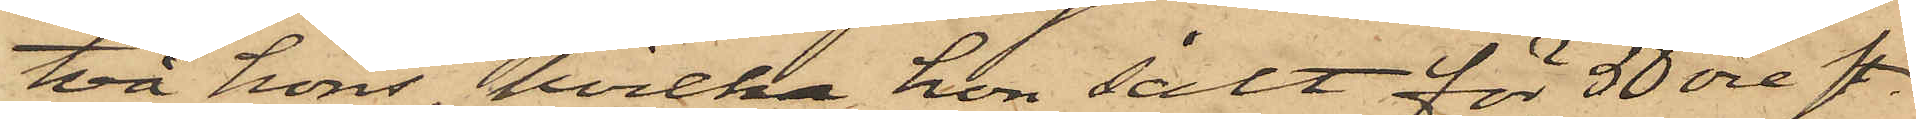två höns, hvilka hon sålt för 50 öre st.
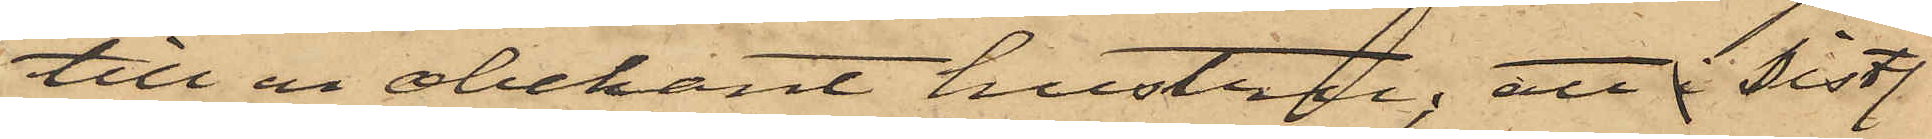till en obekant hustru; att i sistl.
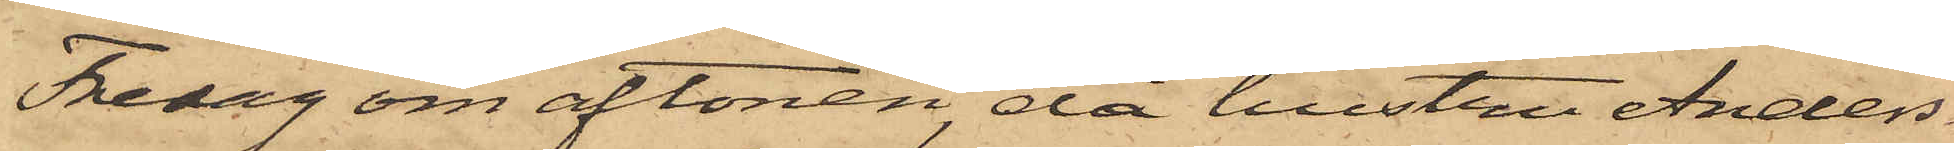Fredag om aftonen, då hustru Anders¬
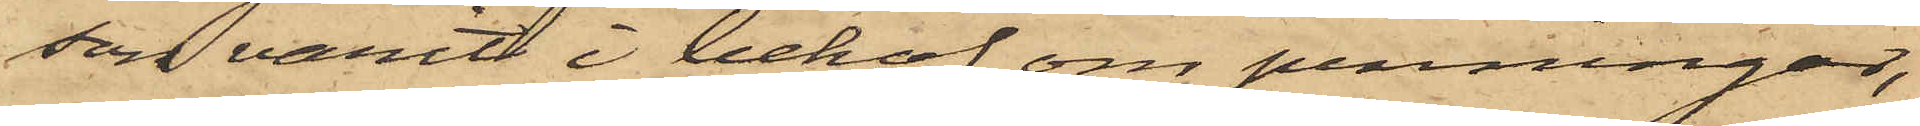son varit i behof om penningar,
